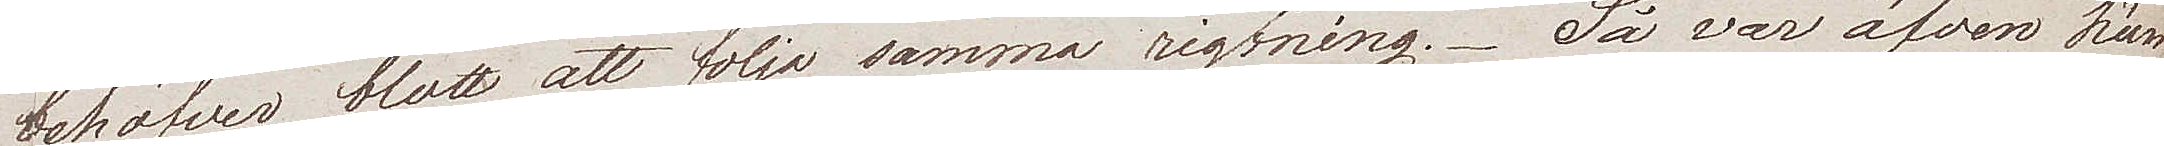behöfver blott att följa samma rigtning. Så var äfven hän¬
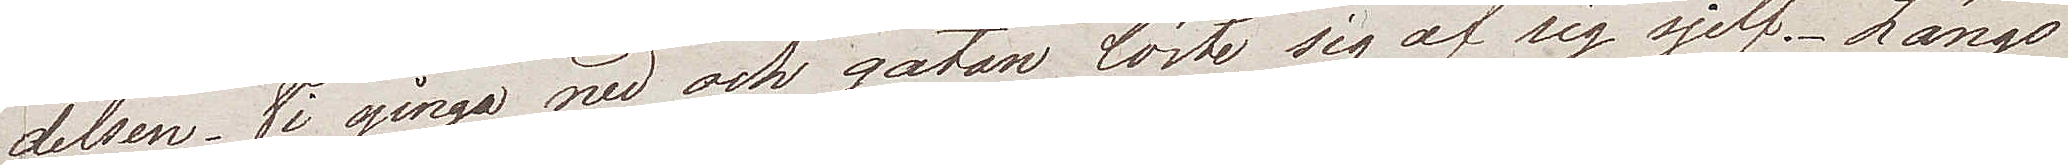delsen. Vi gingo nu och gåtan löste sig af sig sjelf. Längs
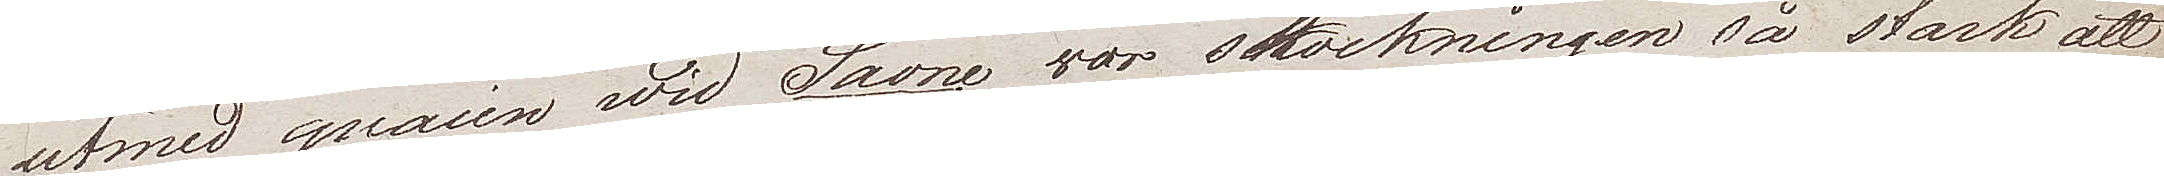utmed quaien wid Saone var stockningen så stark att
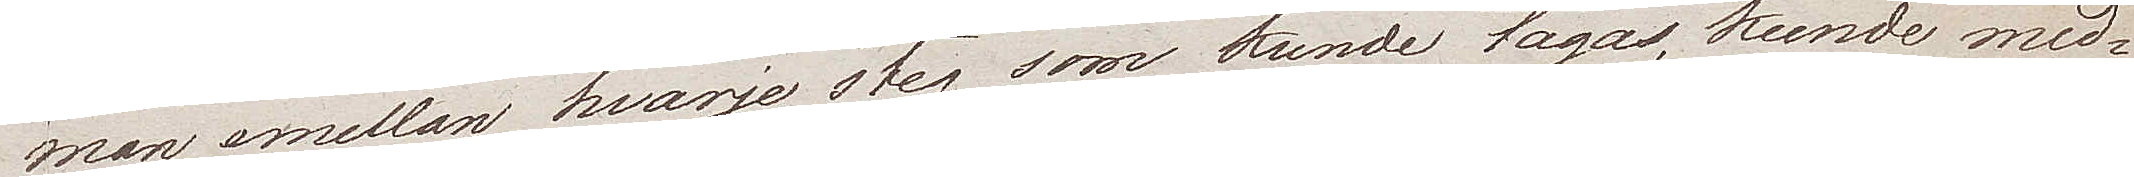man emellen hvarje steg som kunde tagas, kunde med¬
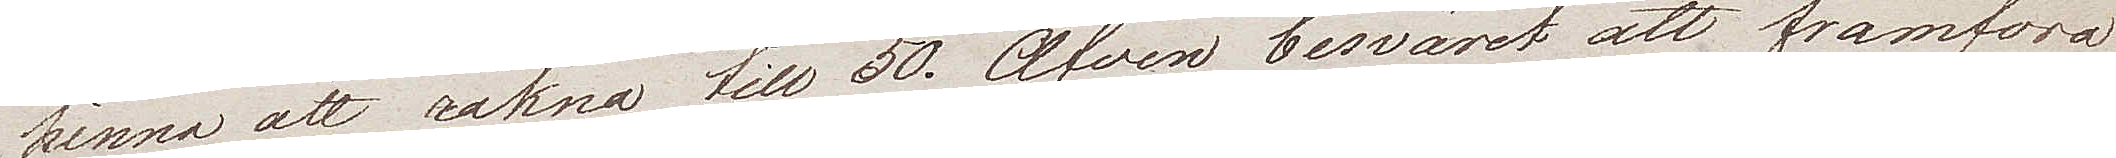hinna att räkna till 50. Äfven besväret att framföra
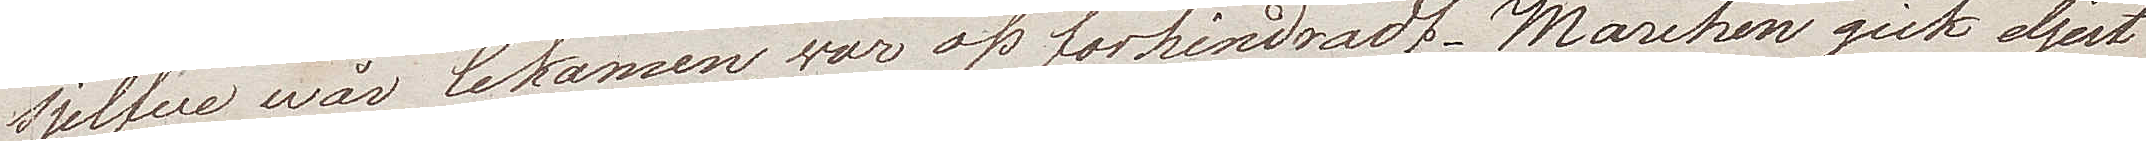sjelfve wår lekamen, war oss förhindradt. Marchen gick eljest
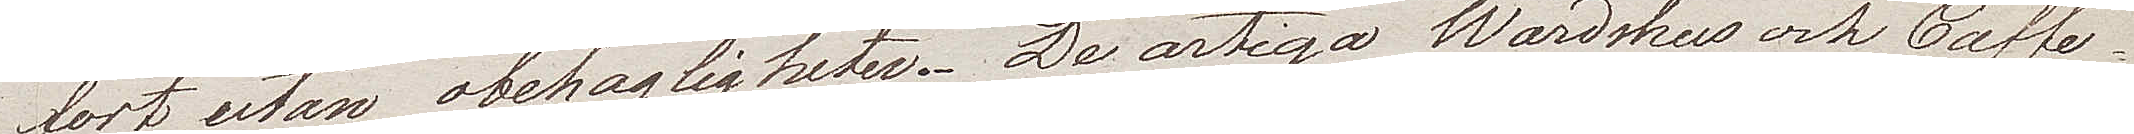fort utan obehagligheter. De artiga Wärdshus och Caffe¬
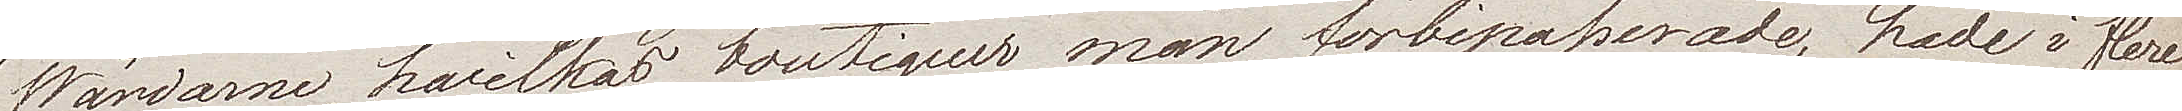Wärdarne, hwilkas boutiquer man förbipasserade, hade i flere
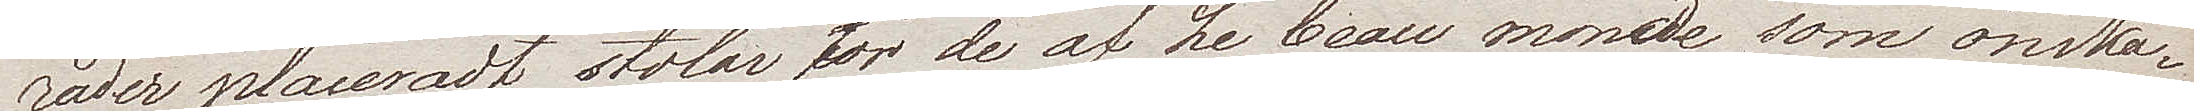rader placeradt stolar för de af Le beau monde som önska¬
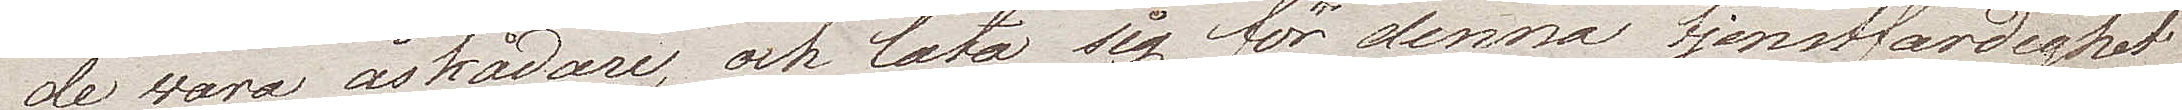de wara åskådare, och låta sig för denna tjenstfärdighet
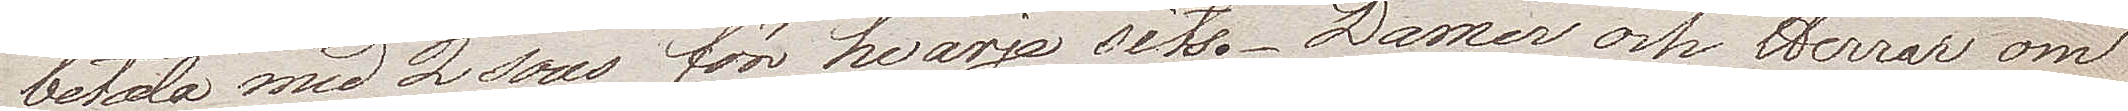betala med 2 sous för hvarje sits. Damer och Herrar om
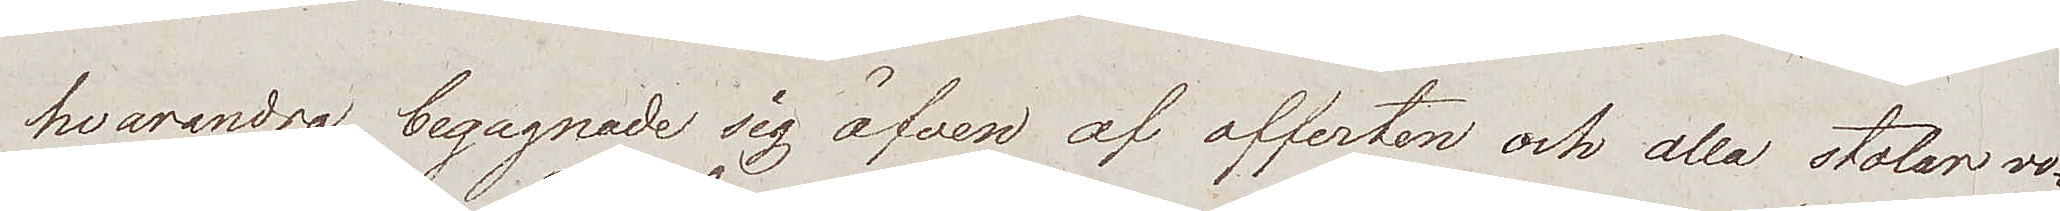hvarandra begagnade sig äfven af offerten och alla stolar vo¬
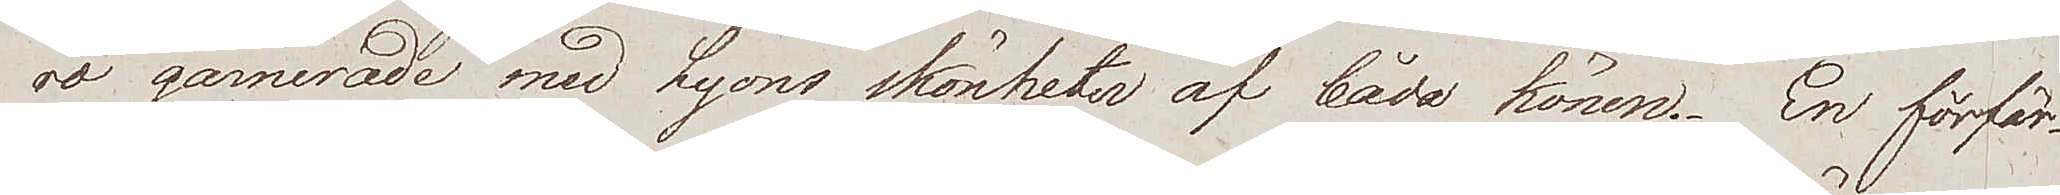ro garnerade med Lyons skönheter af båda könen. En förfär¬
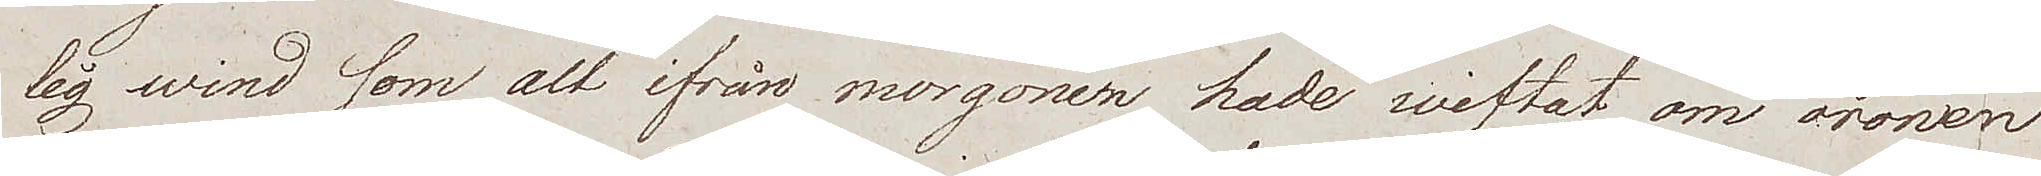lig wind som alt ifrån morgonen hade wiftat om öronen
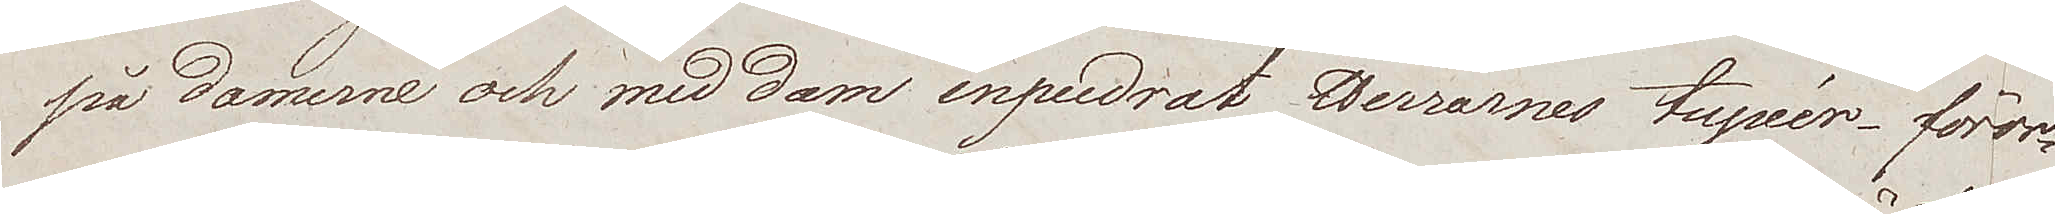på damerne och med dam inpudrat Herrarnes tupéer, föror¬
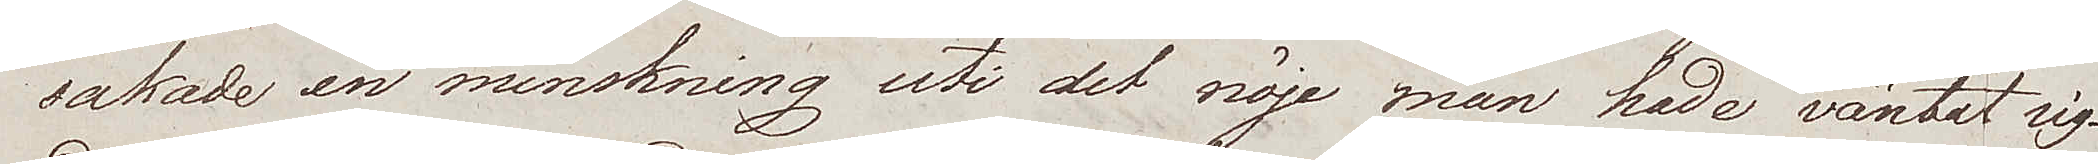sakade en minskning uti det nöje man hade väntat sig.
